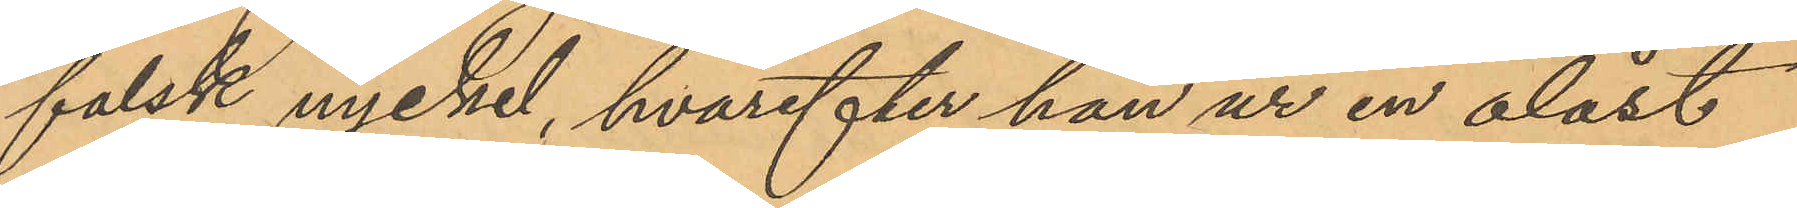falsk nyckel, hvarefter han ur en olåst
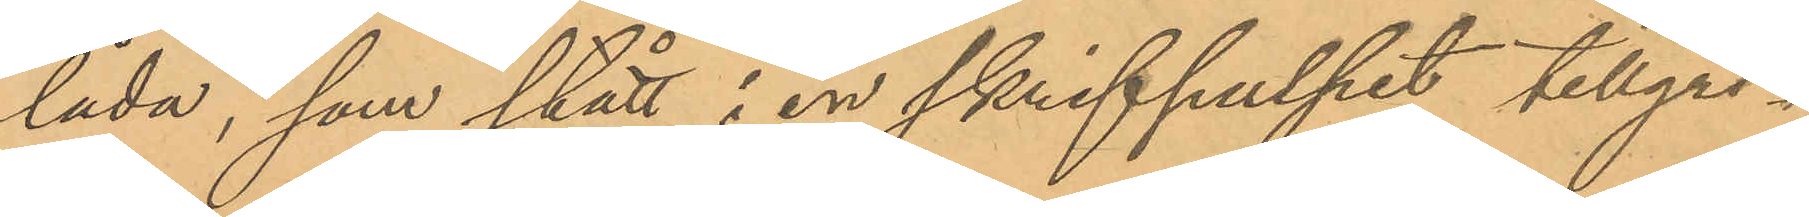låda, som stått i en skrifpulpet tillgri¬
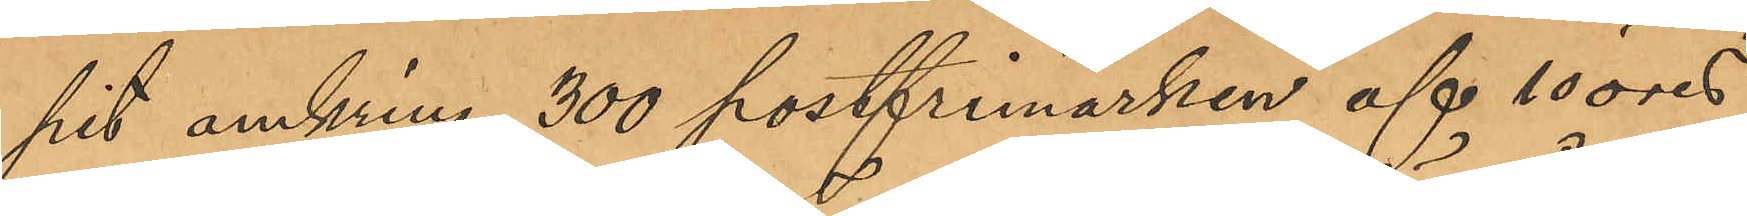pit omkring 300 postfrimärken af 10 öres
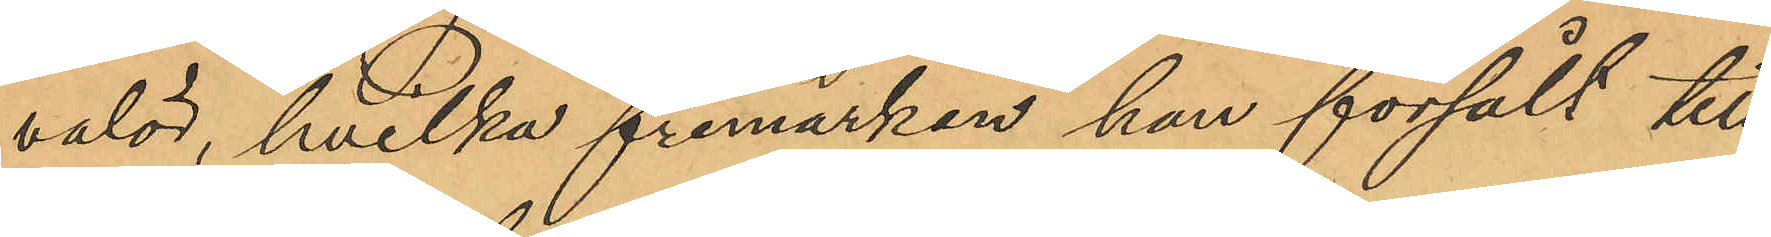valör, hvilka frimärken han försålt till
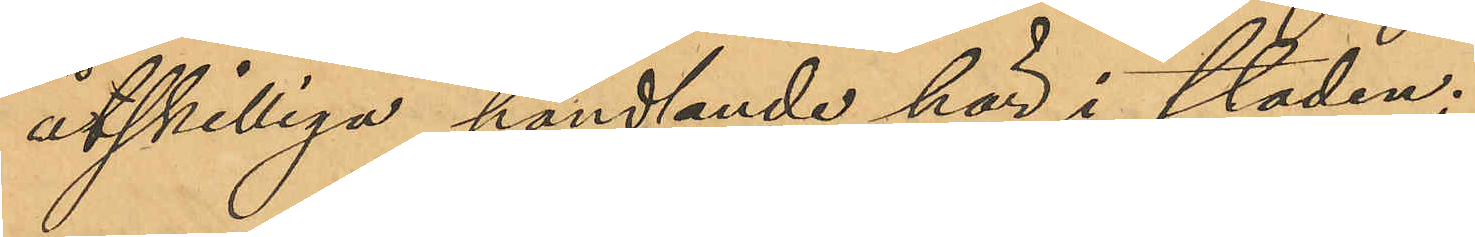åtskilliga handlande här i staden;
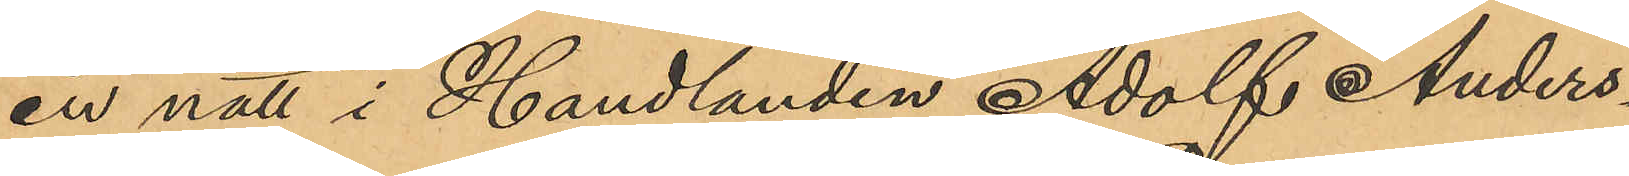en natt i Handlanden Adolf Anders¬
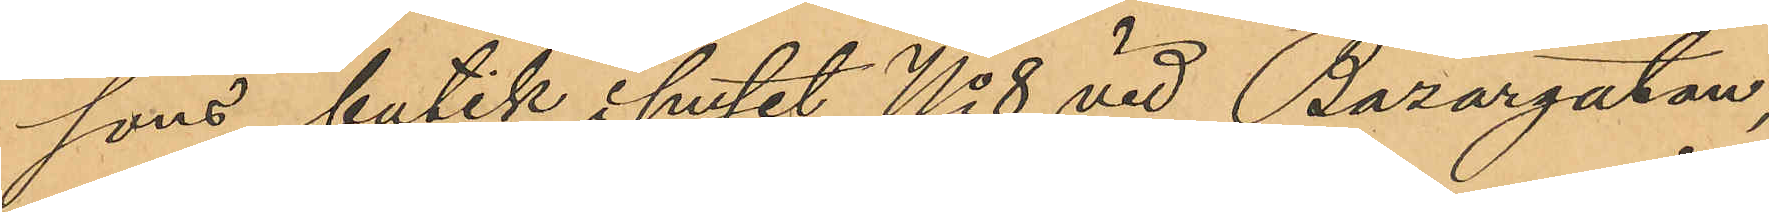sons butik i huset No 8 vid Bazargatan,
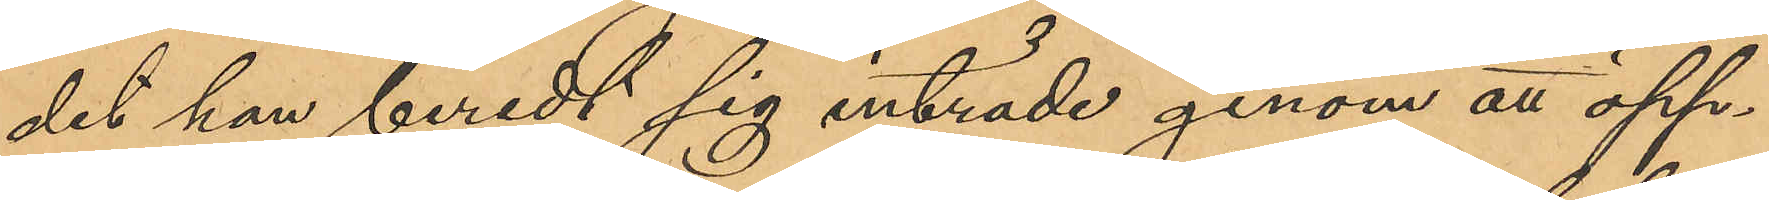det han beredt sig inträde genom an öpp¬
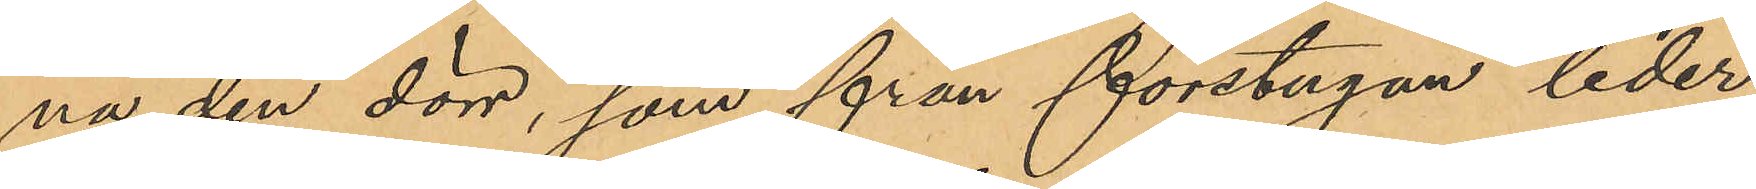na den dörr, som från förstugan leder
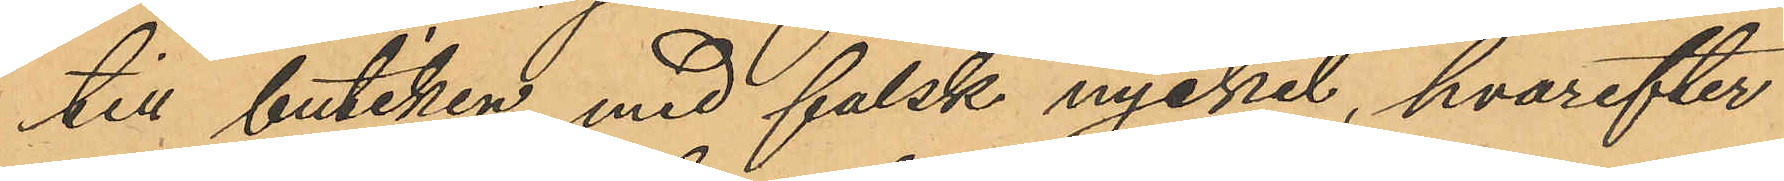till butiken, med falsk nyckel, hvarefter
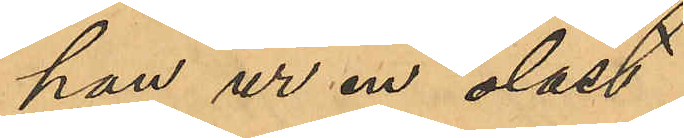han ur en olåst
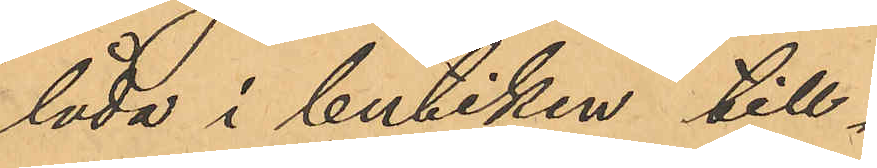låda i butiken till¬
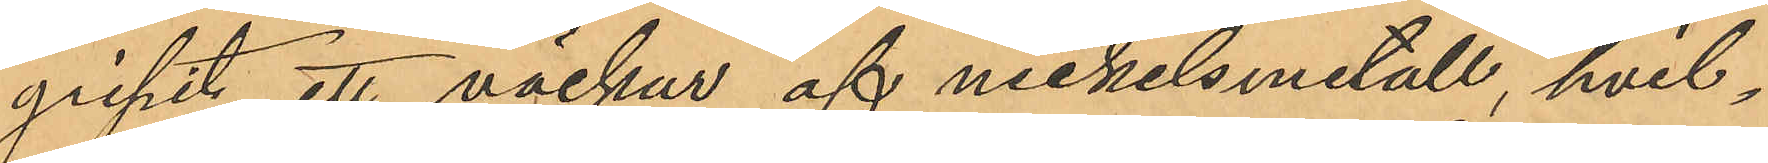gripit ett väckur af nickelsmetall, hvil¬
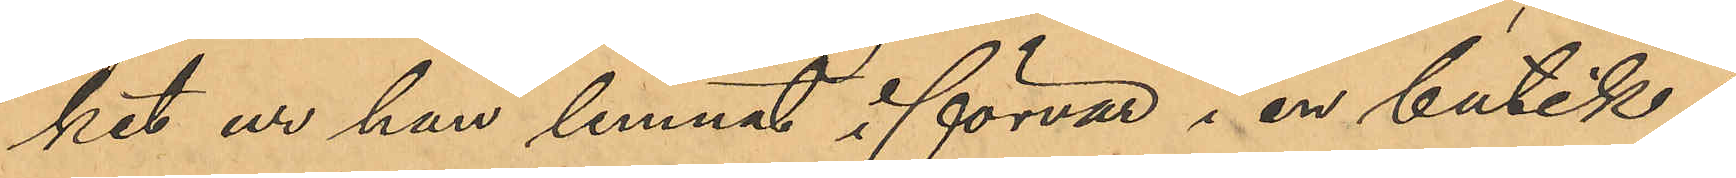ket ur han lemnat i förvar i en butik i
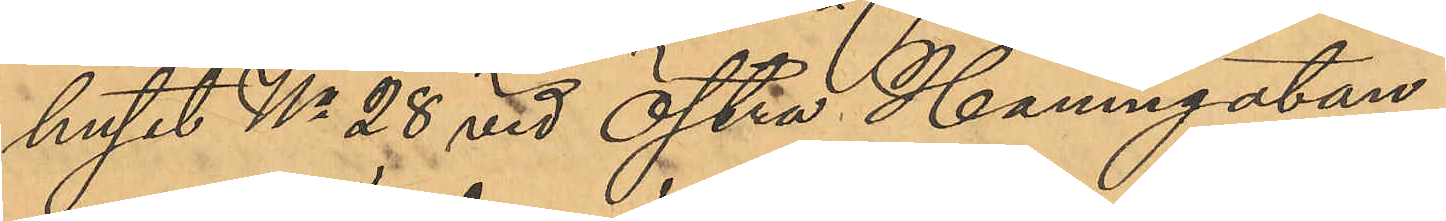huset No 28 vid Östra Hamngatan;
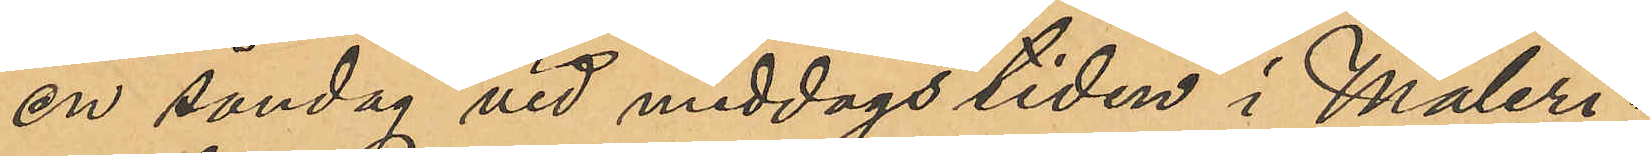en söndag vid middags tiden i Måleri¬
